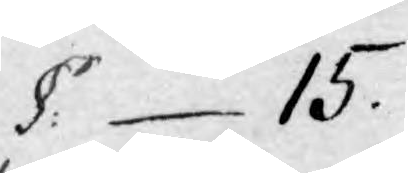§: 15.
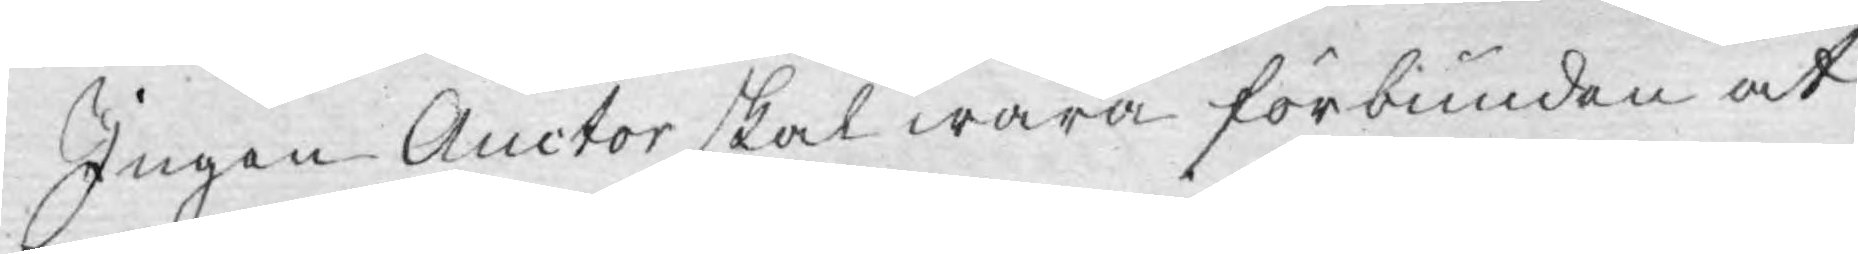Ingen Auctor skal wara förbunden at
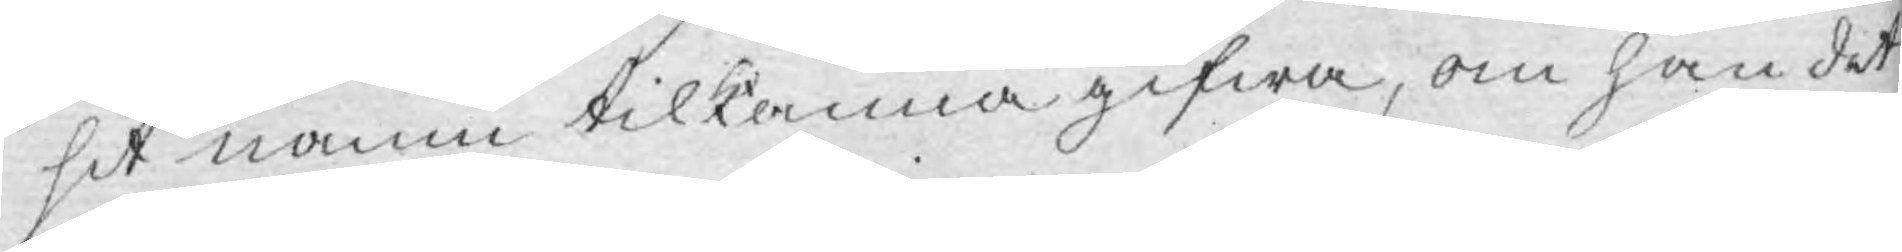sit namn tilkänna gifwa, om han det
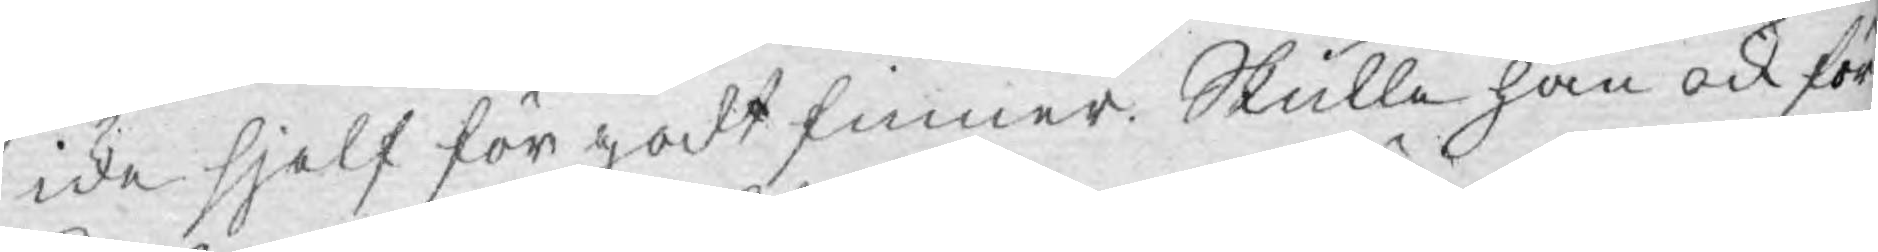icke sjelf för godt finner. Skulle han ock för
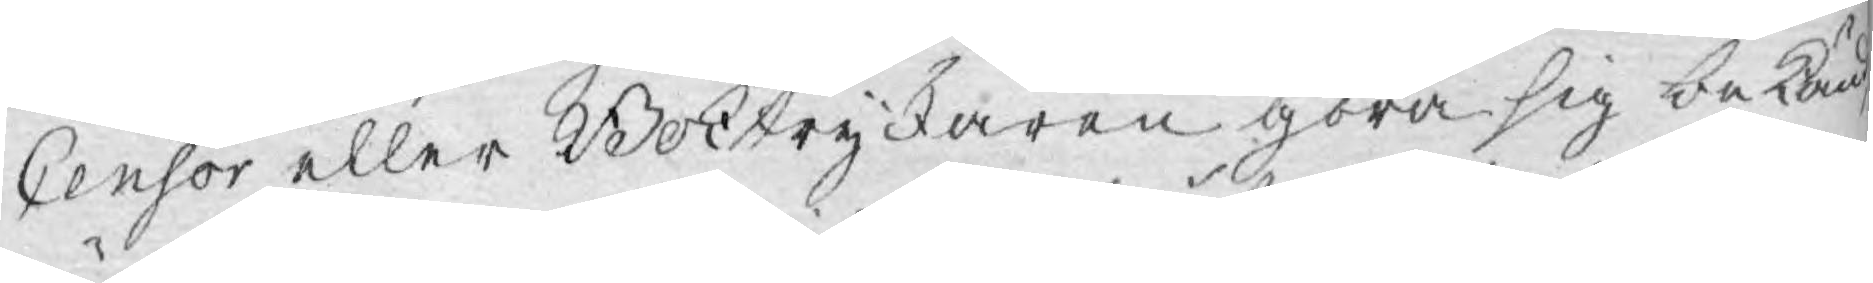Censor eller Boktryckaren göra sig bekänd
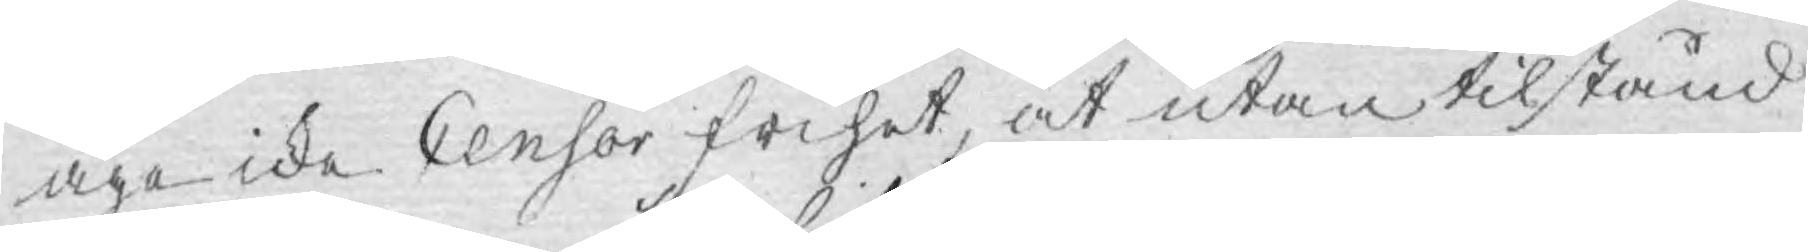äga icke Censor frihet, at utan tilstånd
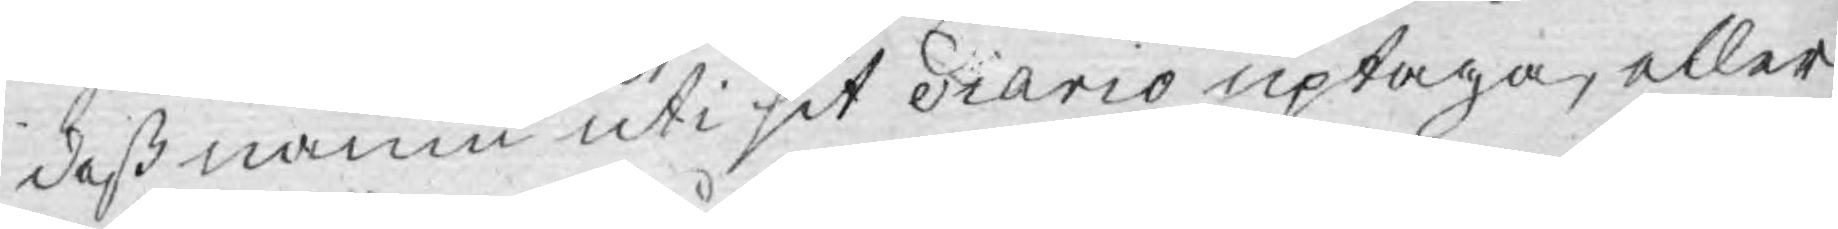deß namn uti sit diario uptaga, eller
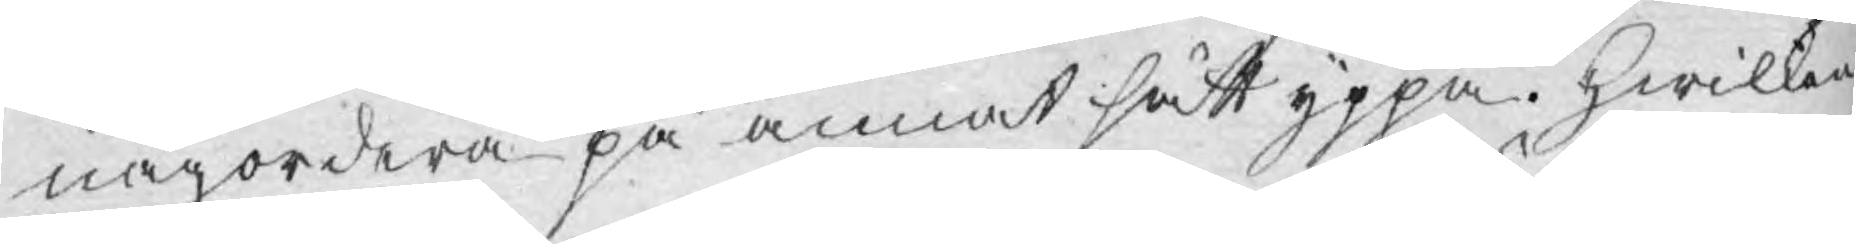någordera på annat sätt yppa. Hwilken
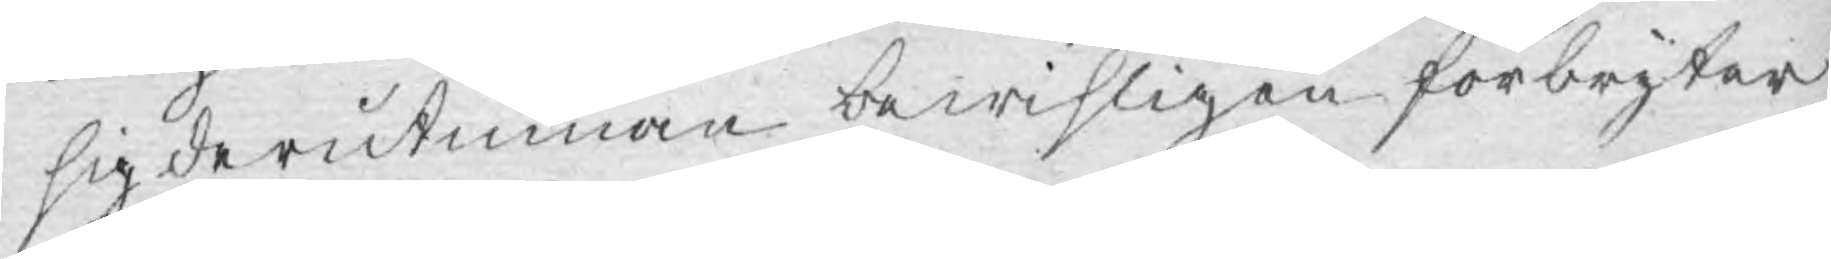sig derutinnan bewisligen förbryter
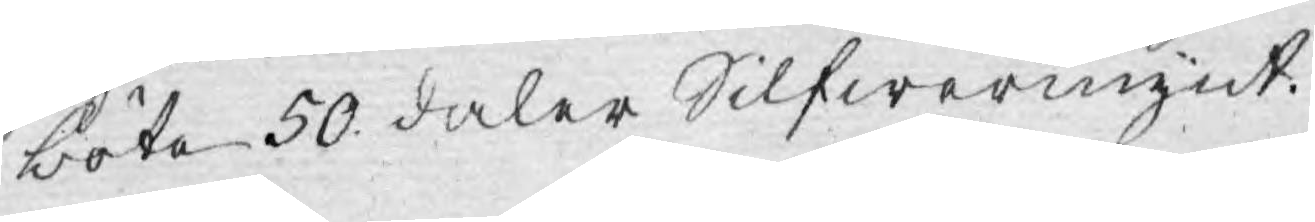böta 50 daler Silfwermynt.
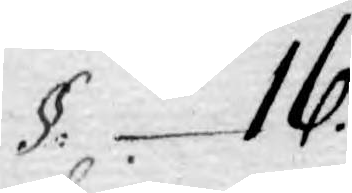§. 16.
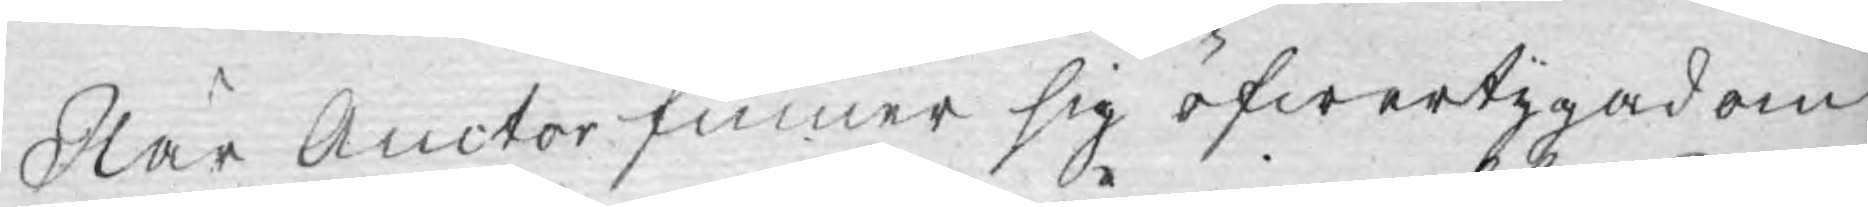När Auctor finner sig öfwertygad om
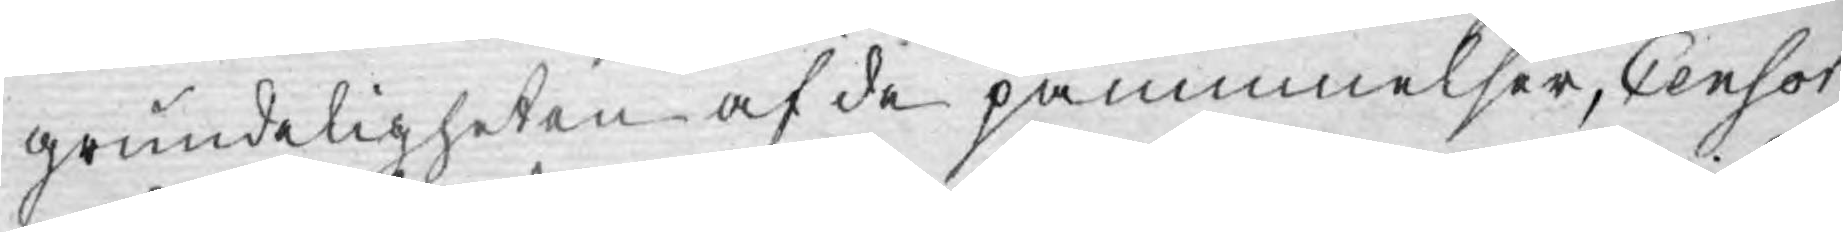grundeligheten af de påminnelser, Censor
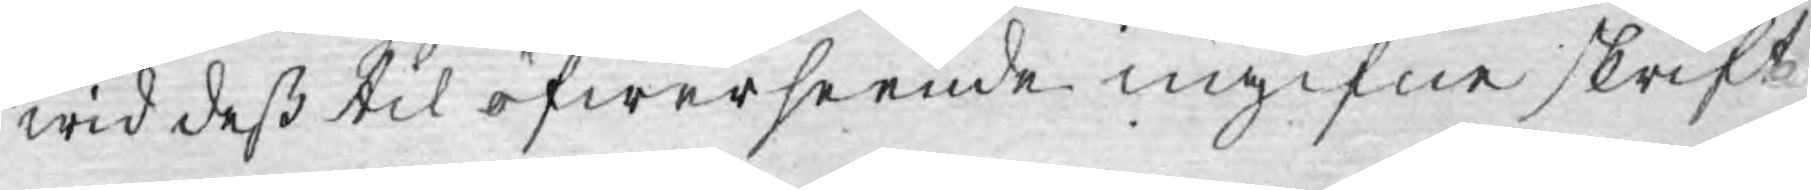wid deß til öfwerseende ingifne skrift
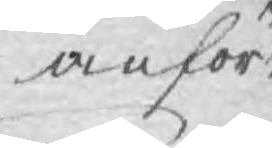anfört
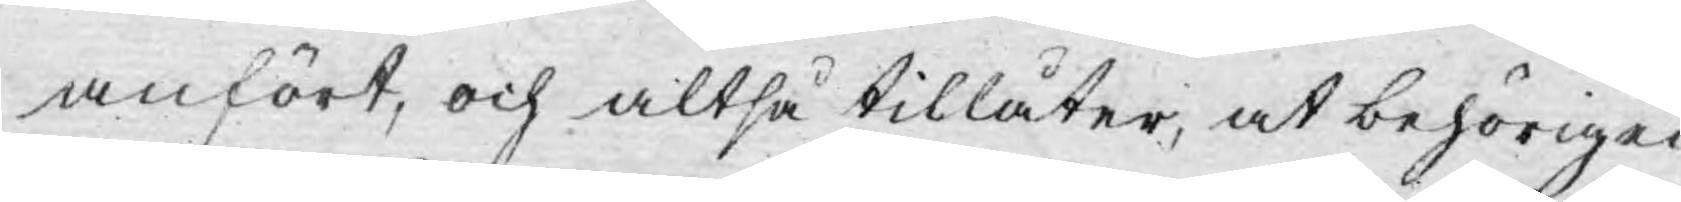anfört, och altså tillåter, at behörigen
